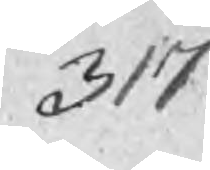317
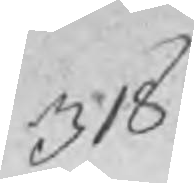318
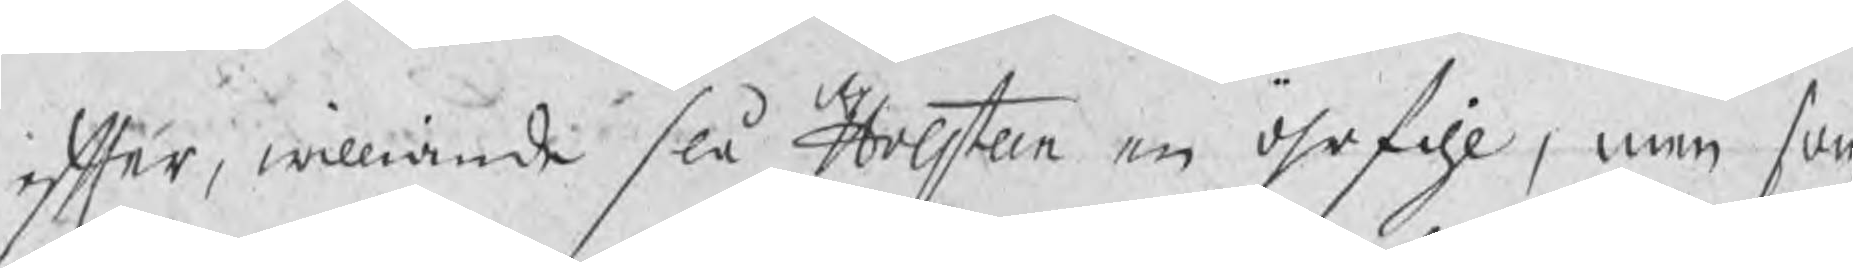efter, williande slå Holsteen en öhrfihl, men som
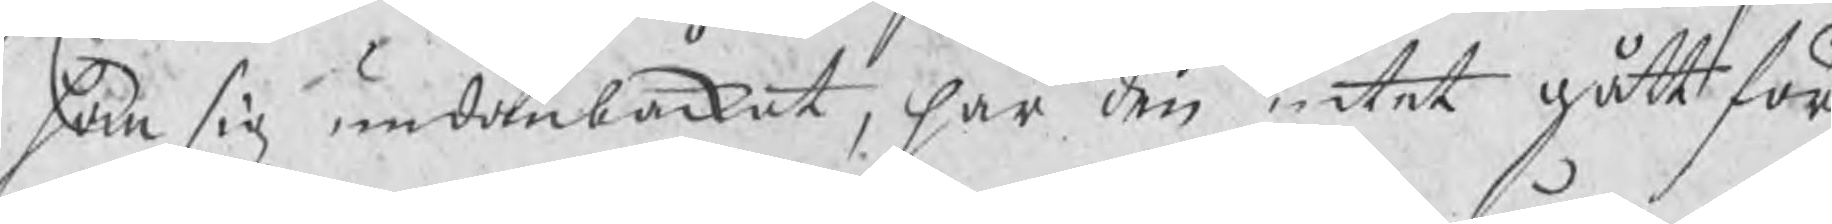han sig undanbackat, har den intet gått för
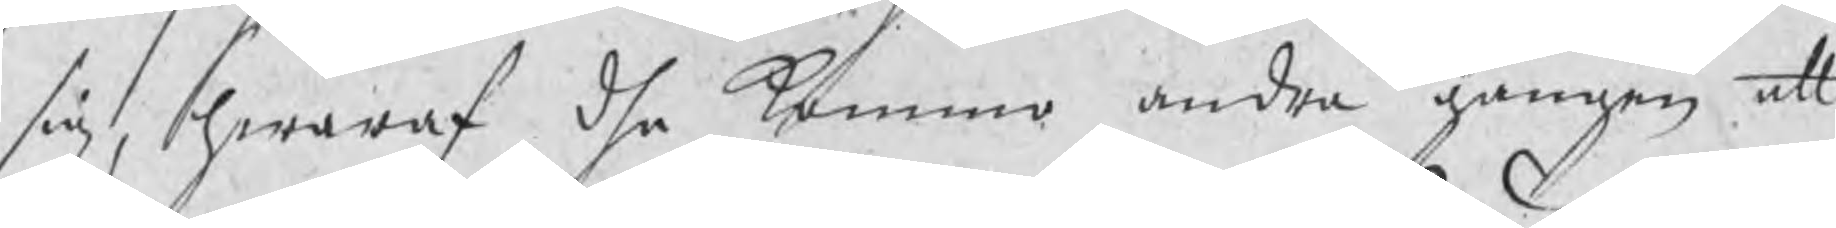sig, hwaraf dhe kommo andra gången att
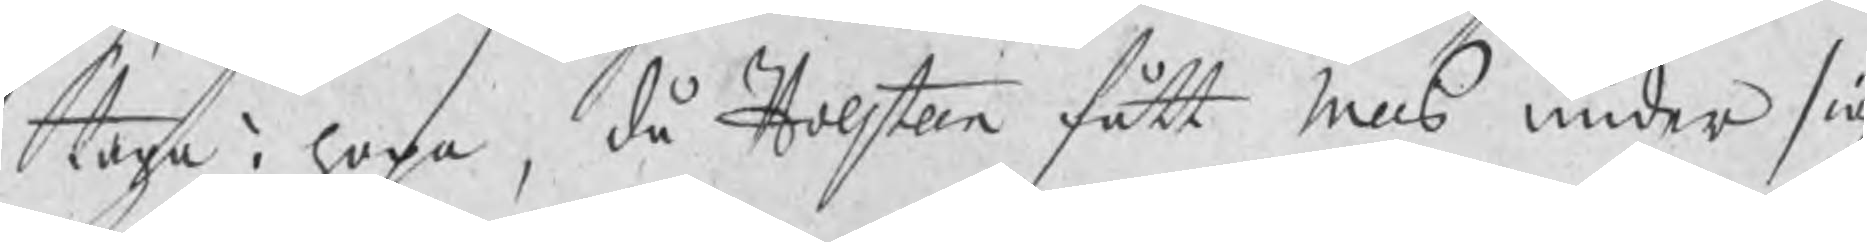taga i hopa, då Holsteen fått Nills under sig
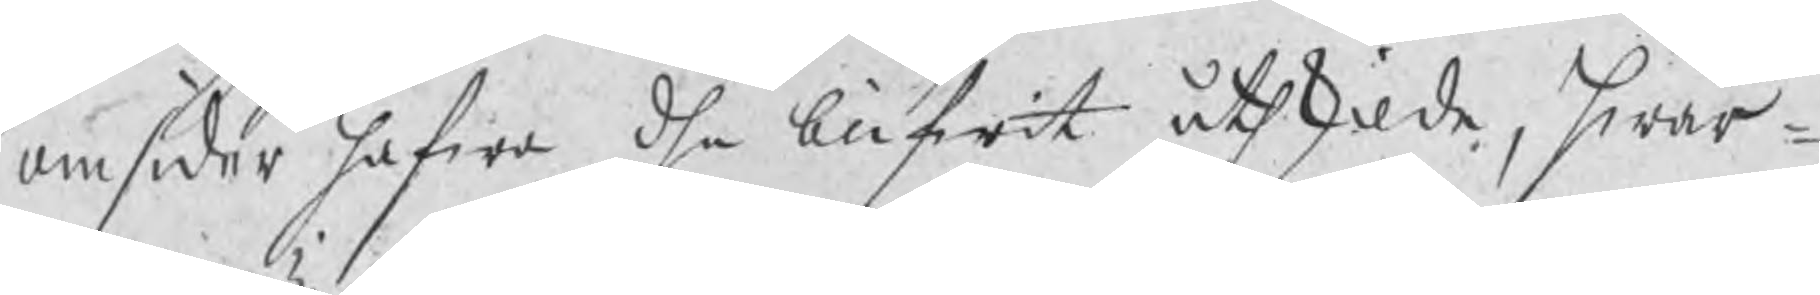omsider hafwa dhe blifwit åthskilde, hwar¬
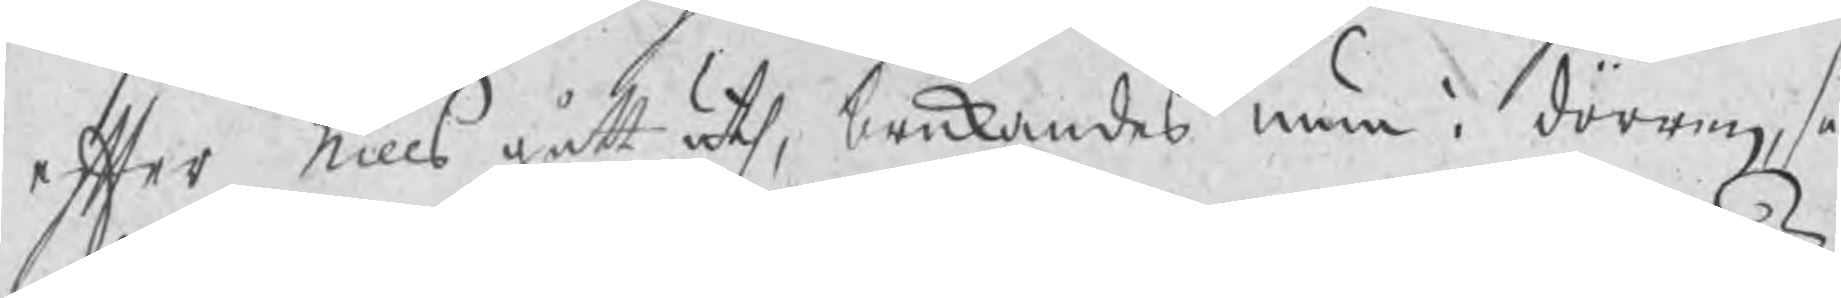efter Nills gått uth, brukandes mun i dörre, så
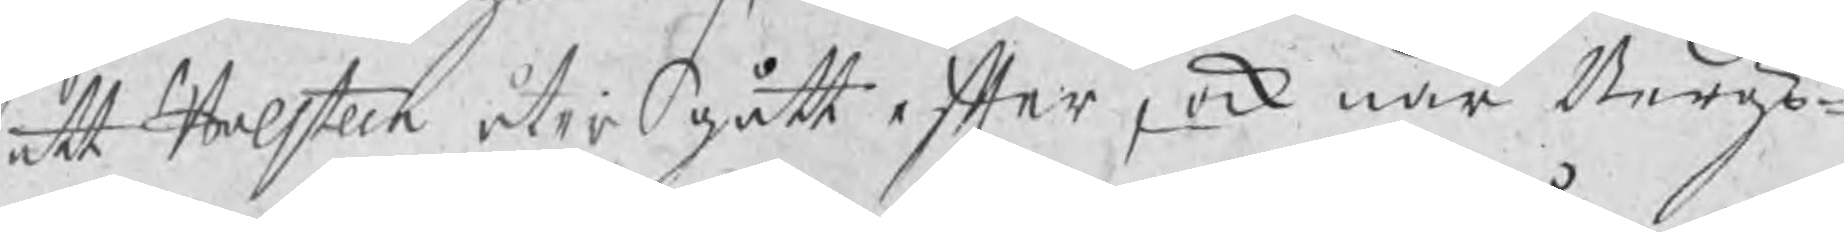att Holsteen åter gått efter, ock när Bergz¬
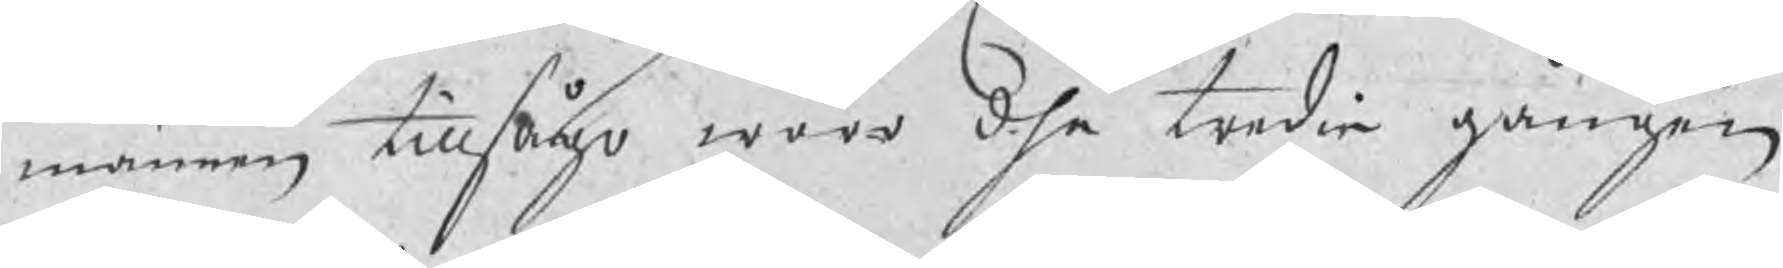männen tillsågo woro dhe tredie gången
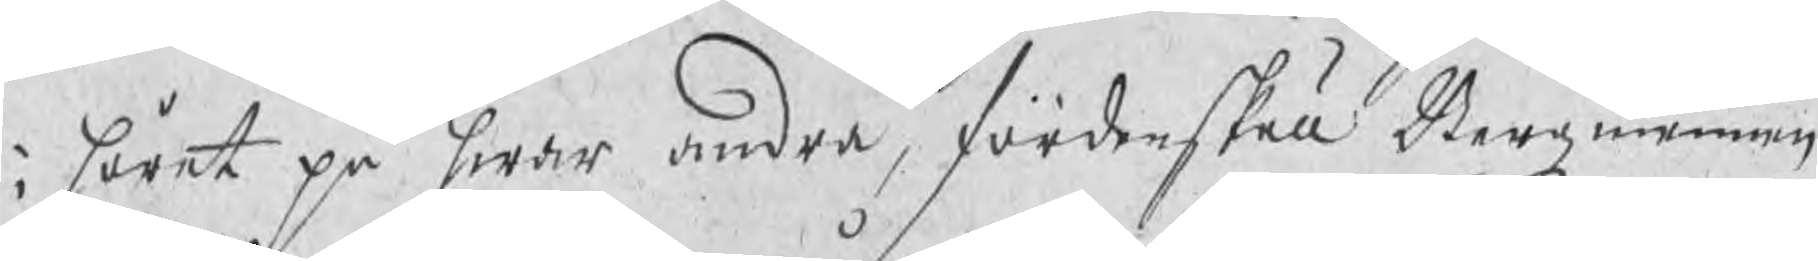i håret på hwar andra, fördenskull Bergzmennen
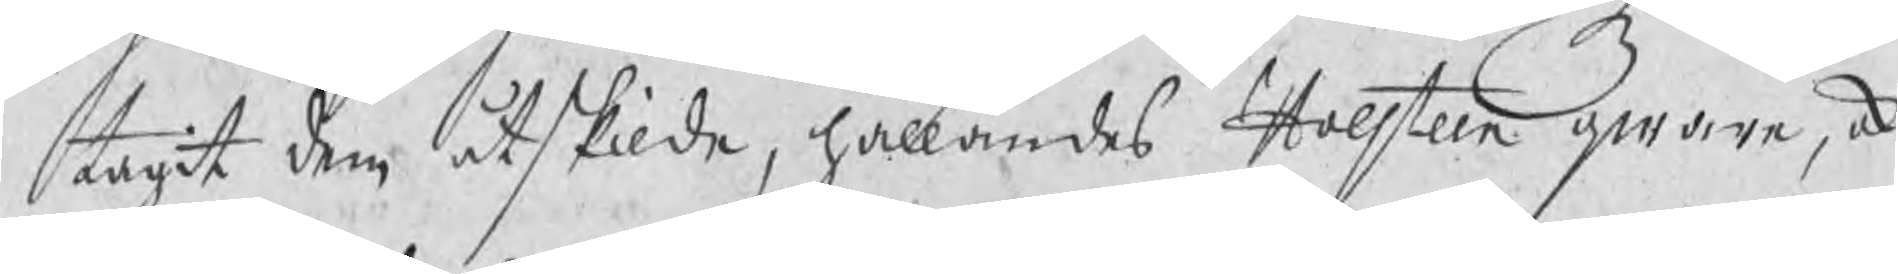tagit dem åtskilde, hållandes Holsteen qware, ock
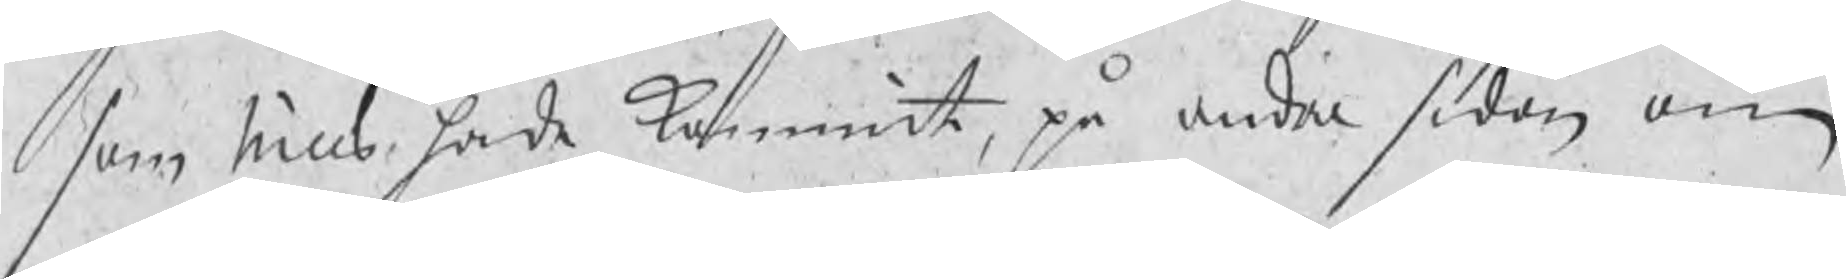som Nills hade kommit, på andra sidan om
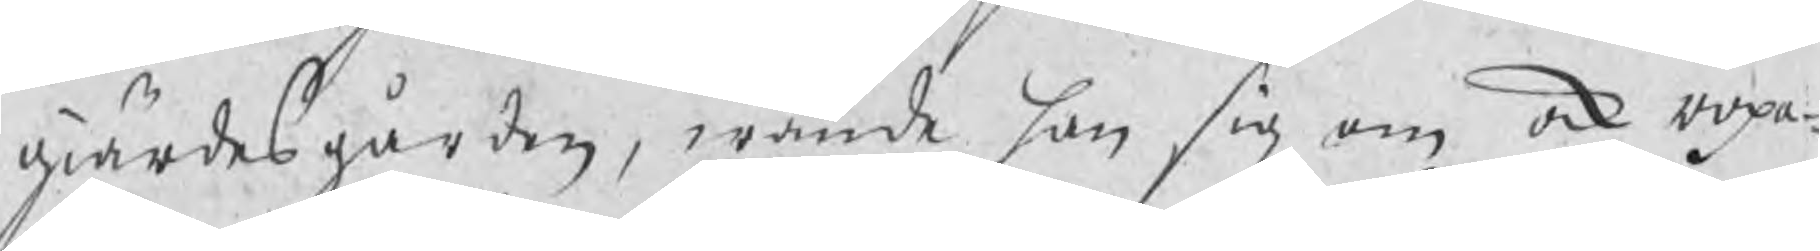giärdesgården, wände han sig om ock ropa¬
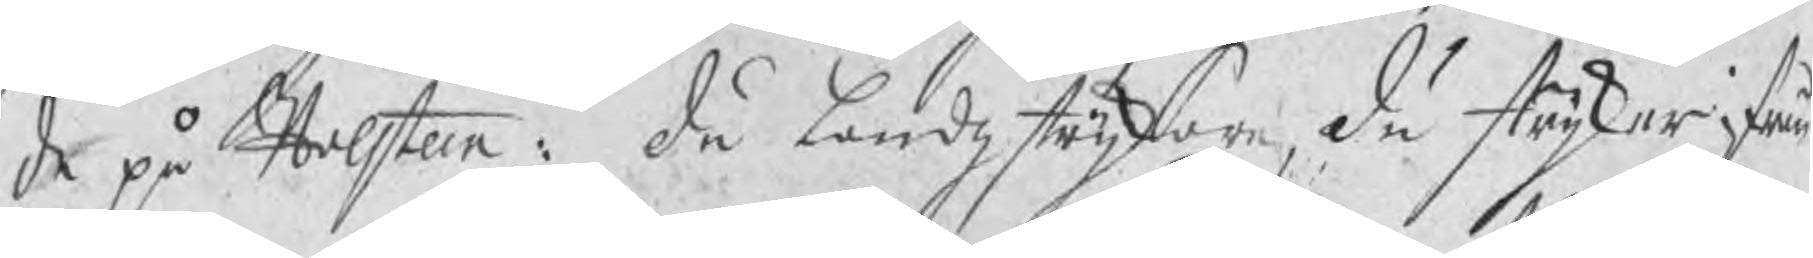de på Holsten: du landzstrykare, du stryker ifrån
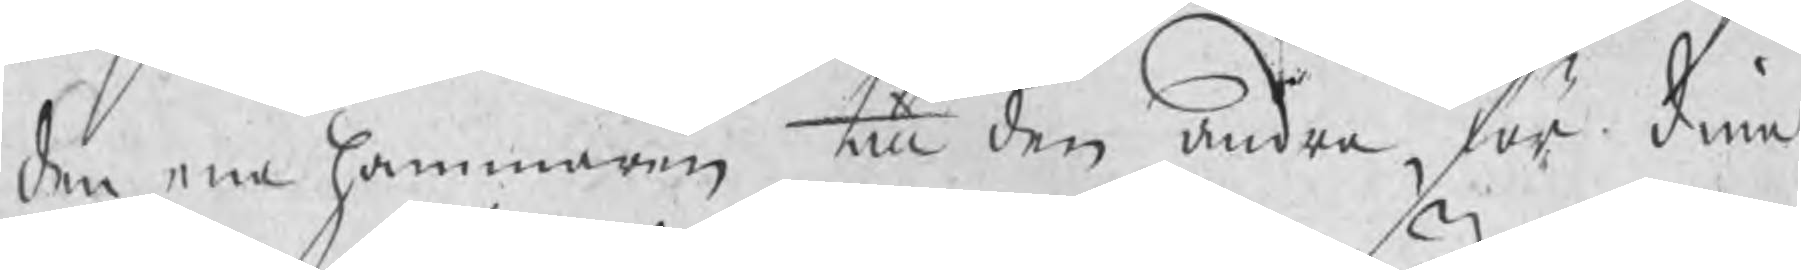den ene hammaren till den andra, för dina
